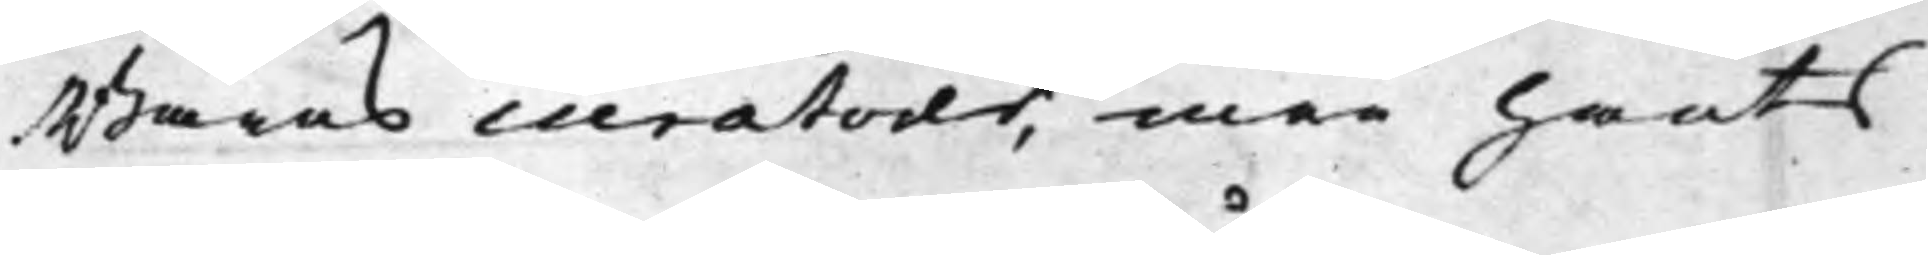Barns curatorer, men hants
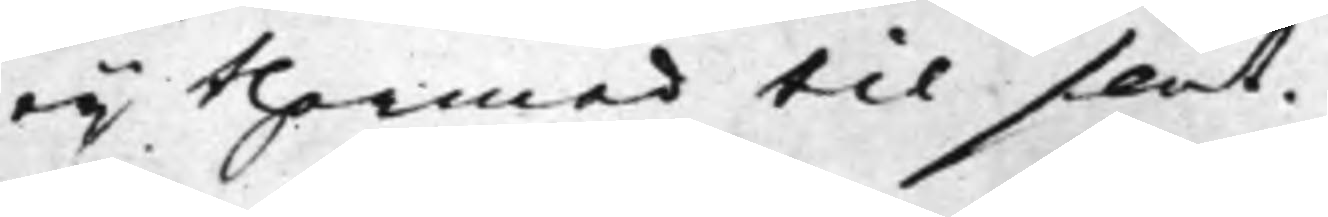eij thermed til slut.
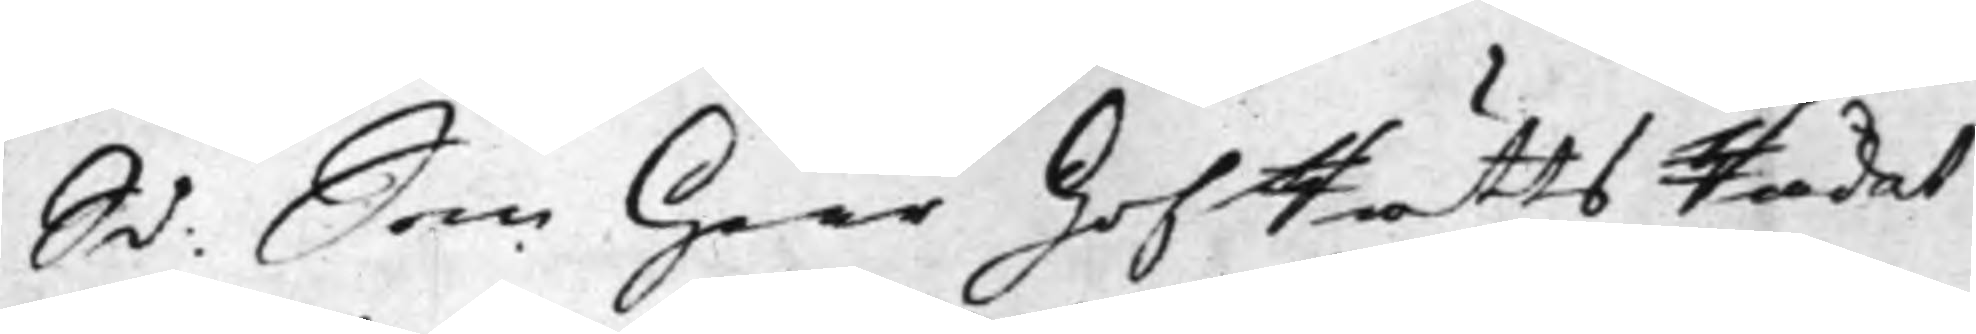S d: Som Herr HofRättsRådet
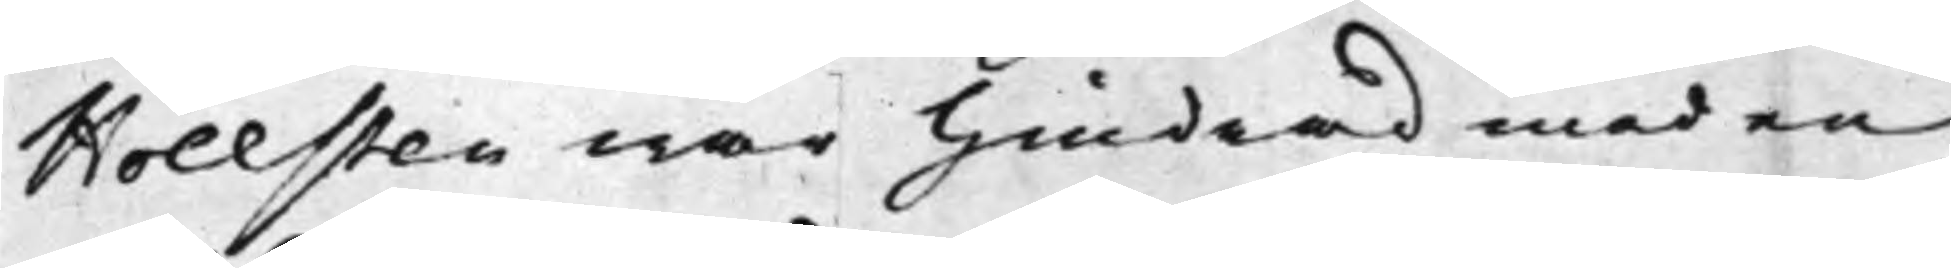Hollsten war hindrad med en
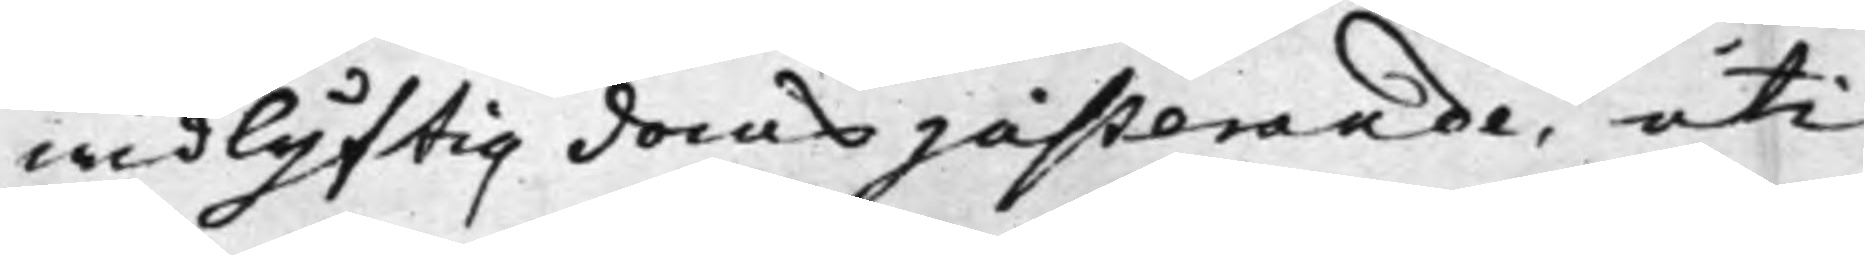widlyftig doms justerande, uti
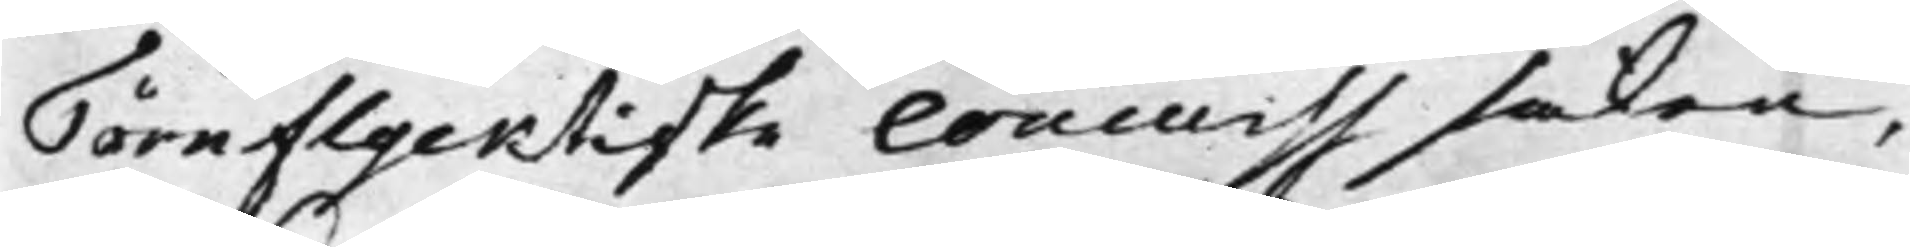Törnflycktiske Concurss saken,
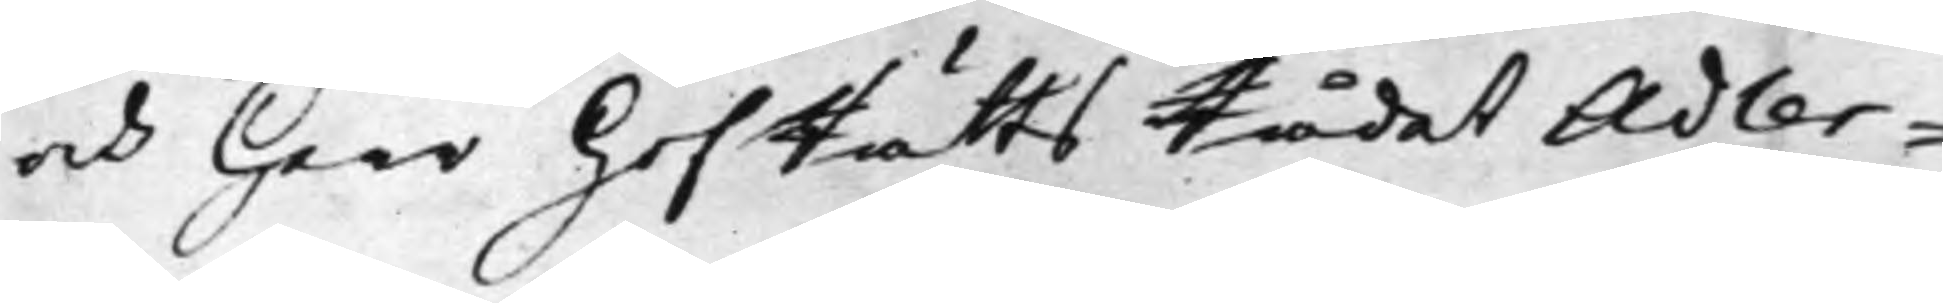och Herr HofRättsRådet Adler¬
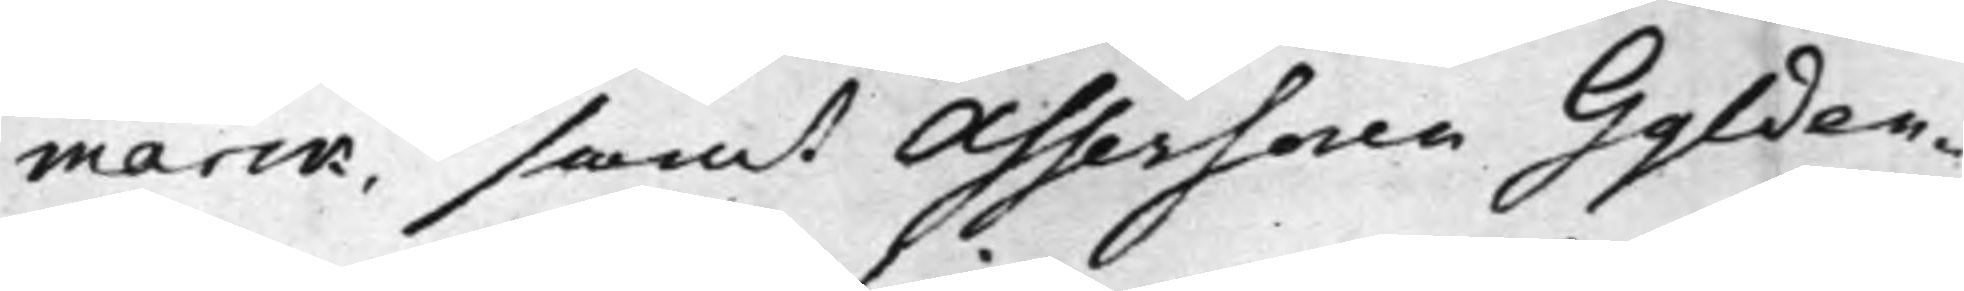marck, samt Assessoren Gylden¬
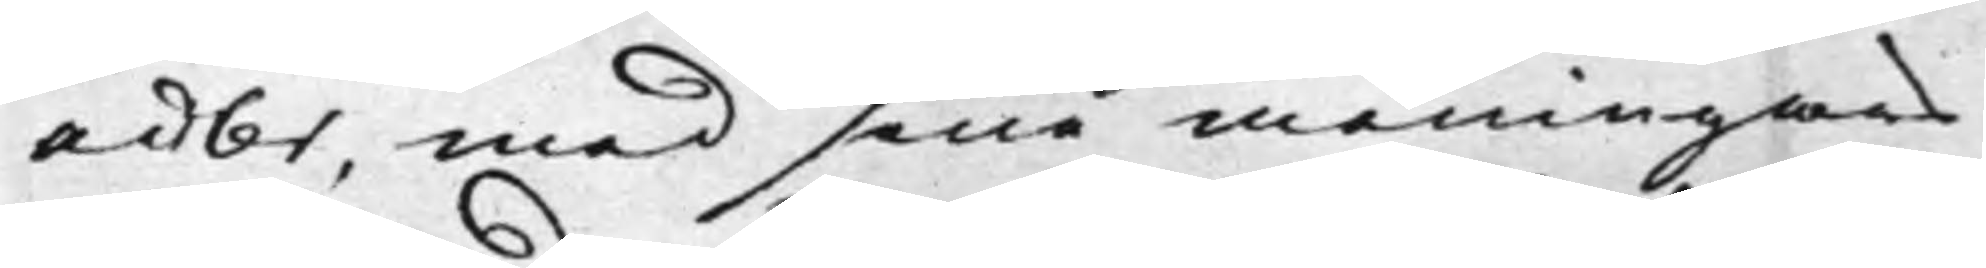adler, med sine meningars
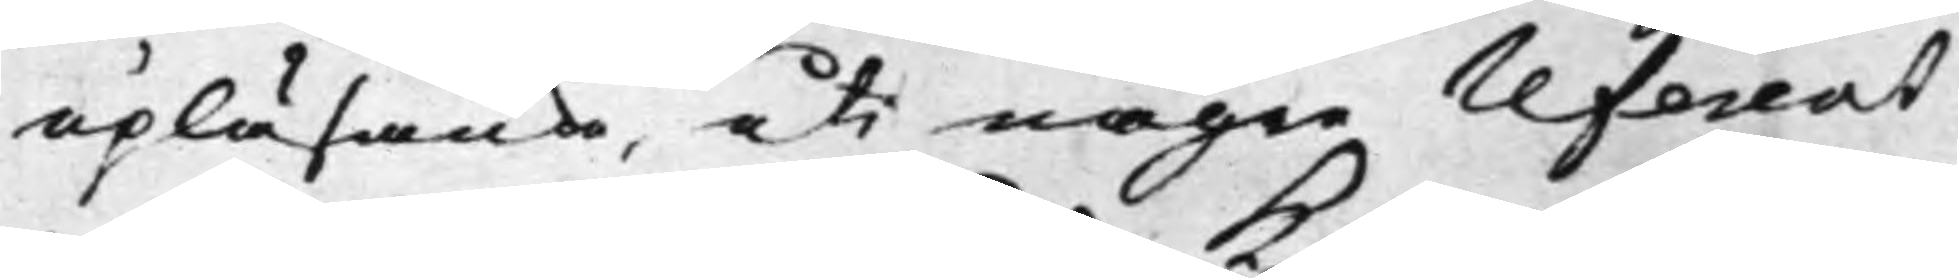upläsande, uti någre referent
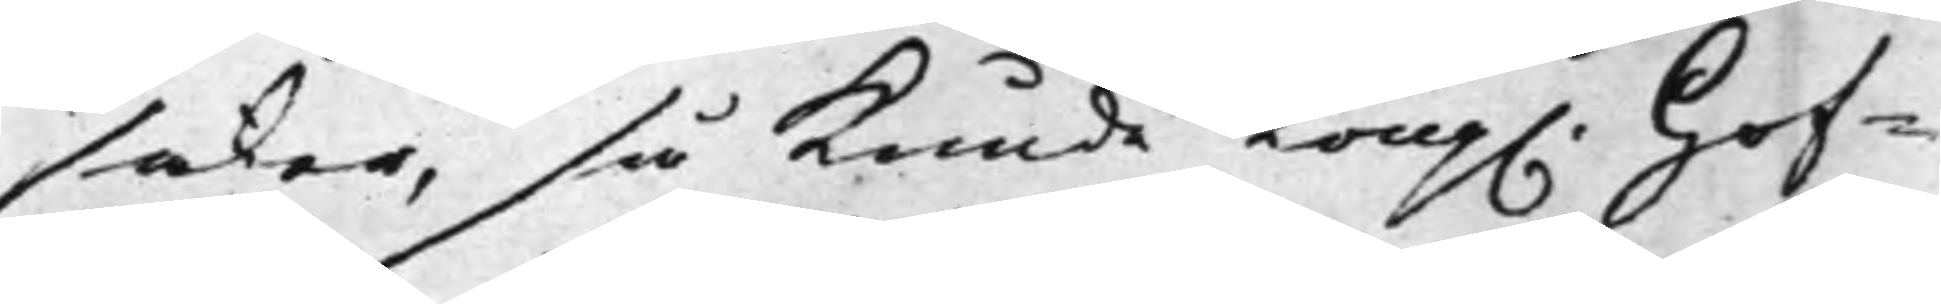saker, så Kunde Kong. Hof¬
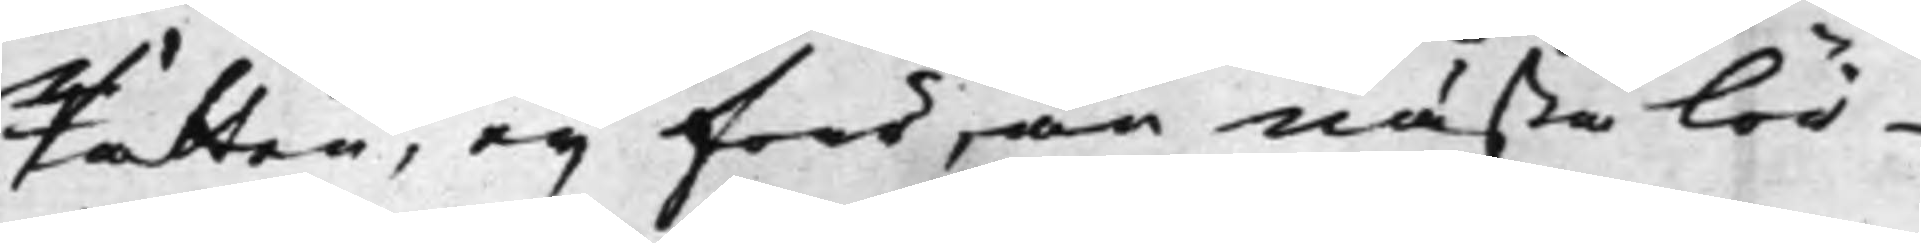Rätten, eij förr, än nästa lör¬
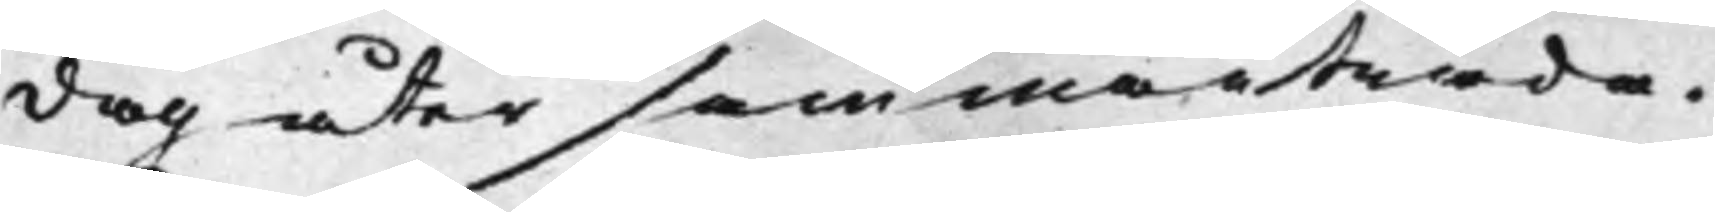dag åter sammanträda.
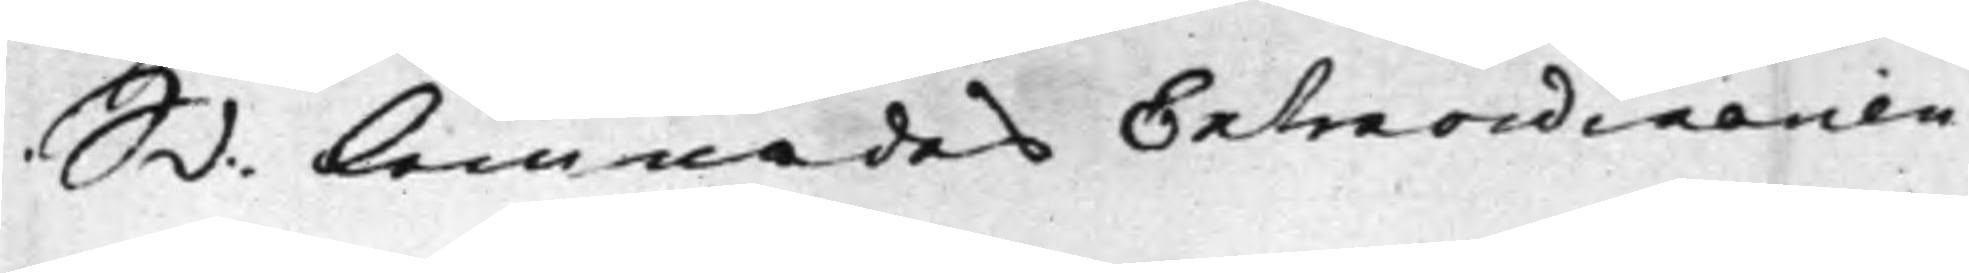S d: Lemnades Extraordinarien
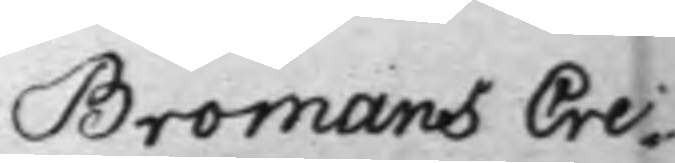Bromans Cre¬
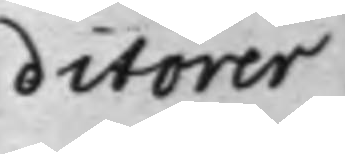ditorer
